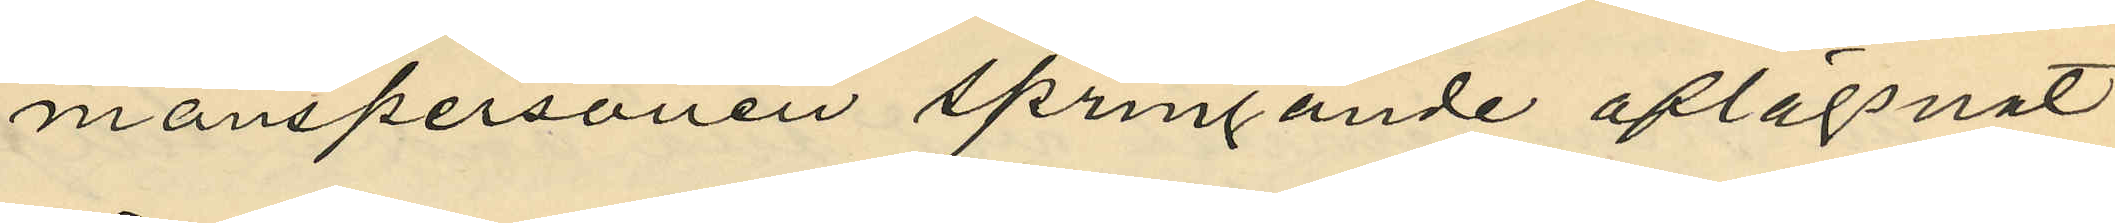manspersonen springande aflägsnat
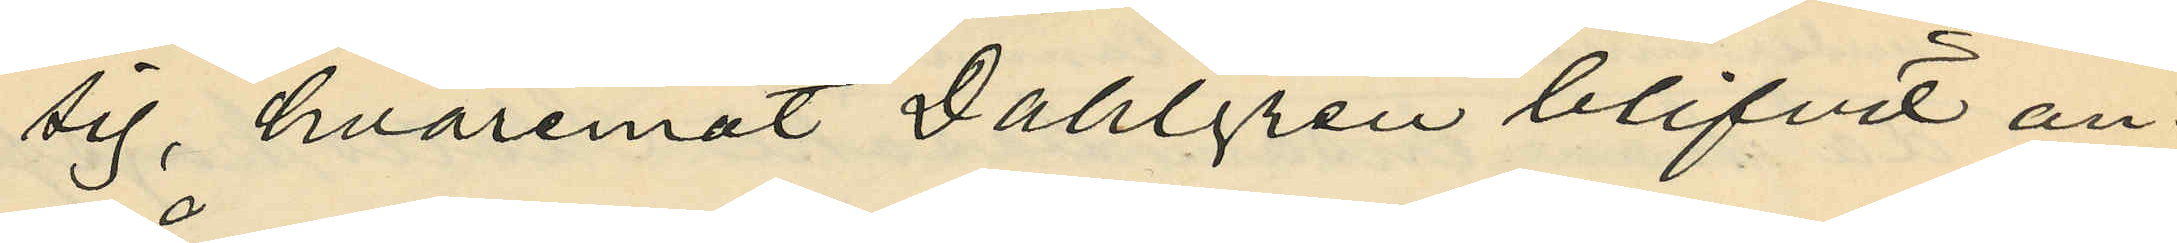sig, hvaremot Dahlgren blifvit an¬
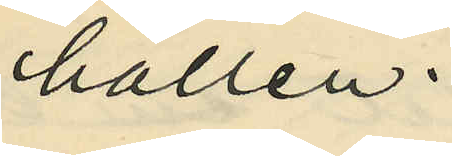hållen.
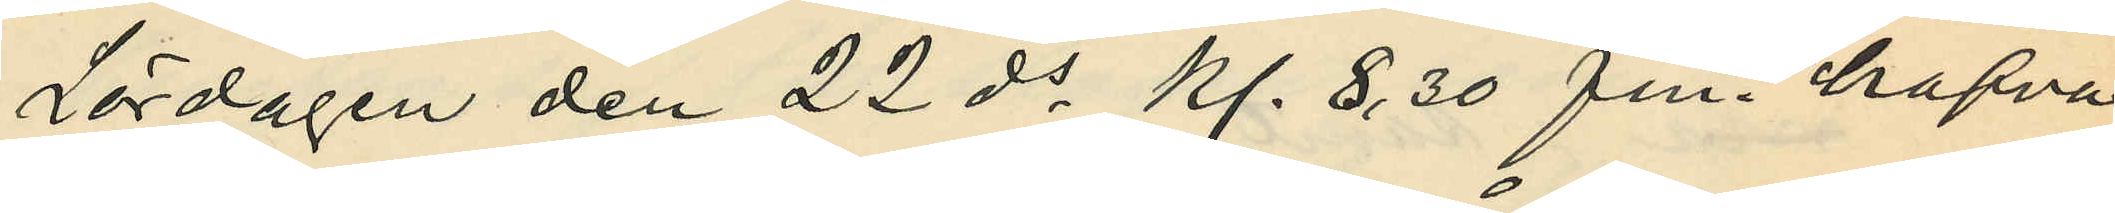Lördagen den 22 ds kl. 8,30 fm. hafva
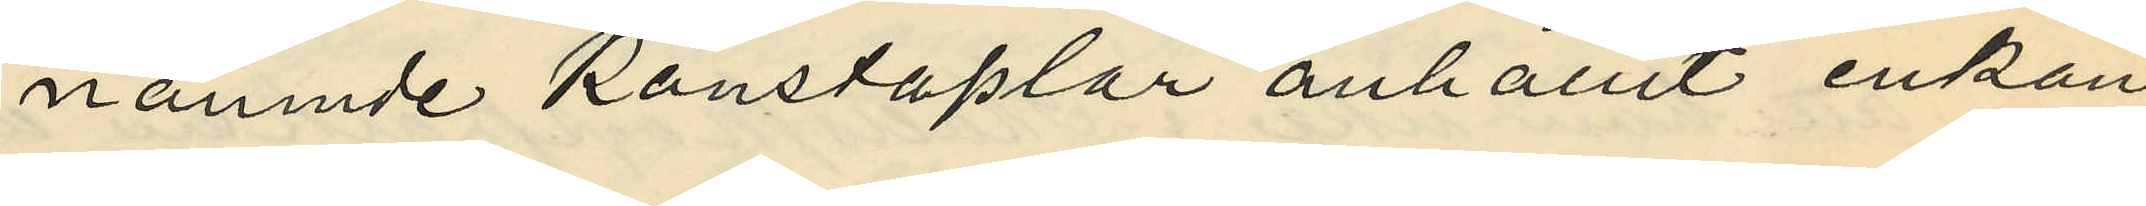nämnde Konstaplar anhållit enkan
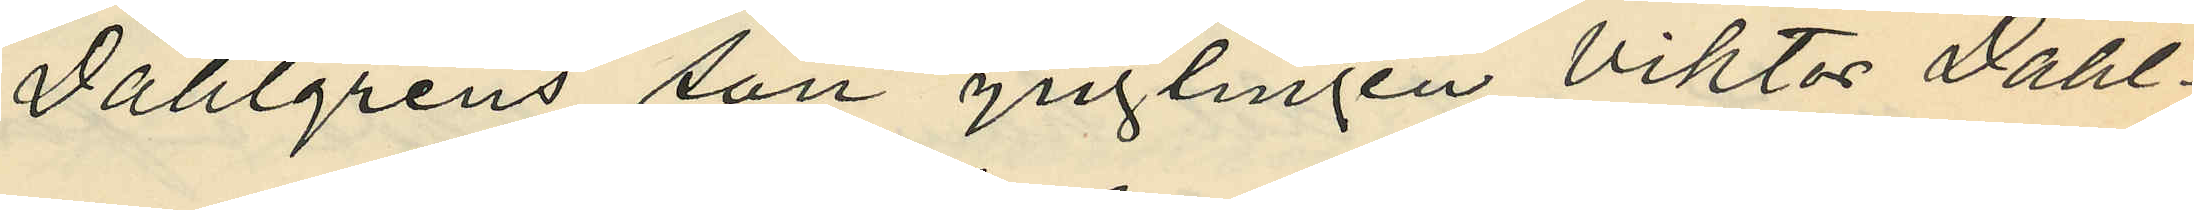Dahlgrens son ynglingen Viktor Dahl¬
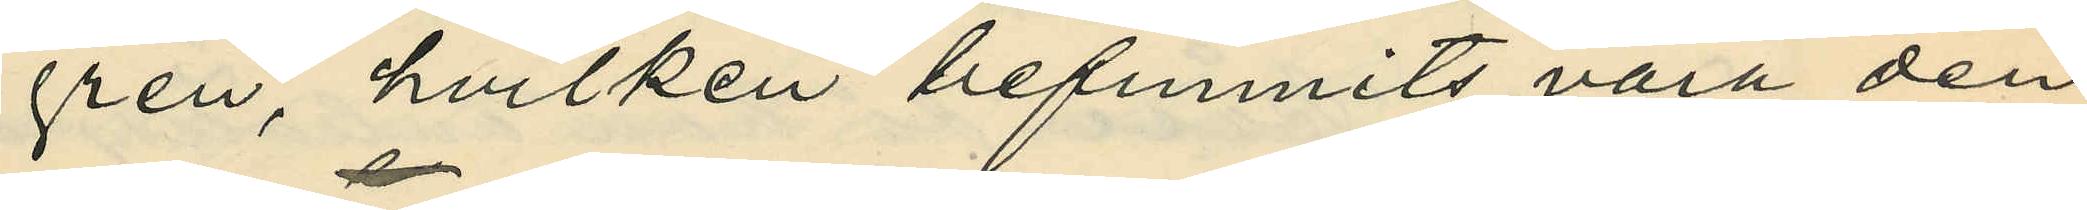gren, hvilken befunnits vara den
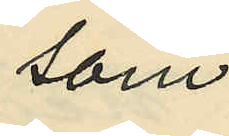som
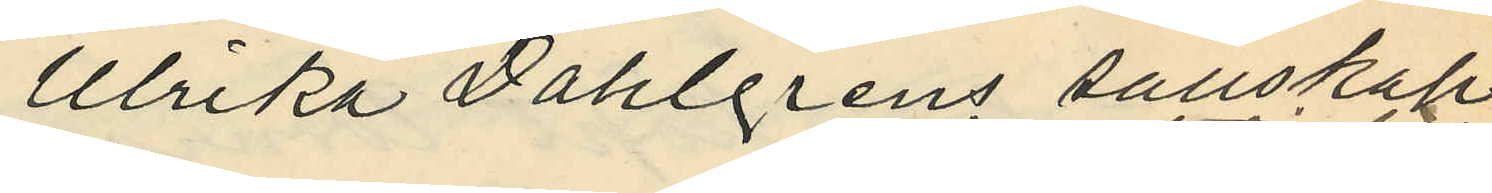Ulrika Dahlgrens sällskap
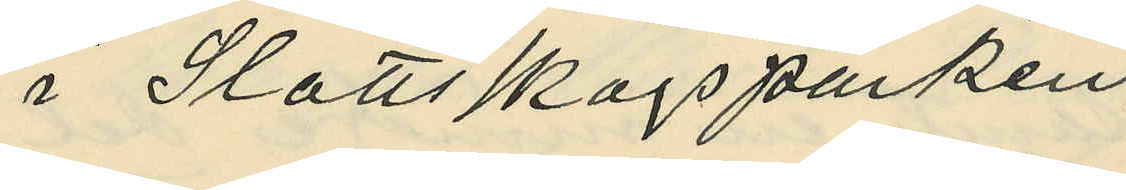i Slottsskogsparken
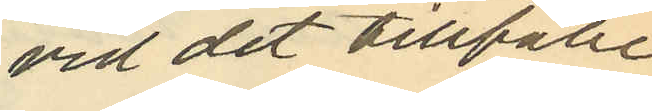vid det tillfälle
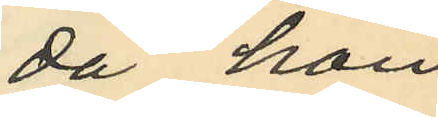då hon
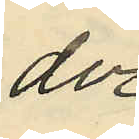der
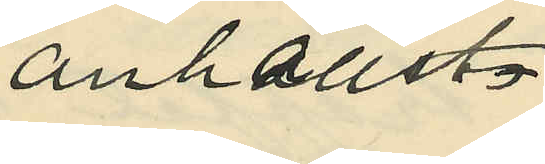anhållits.
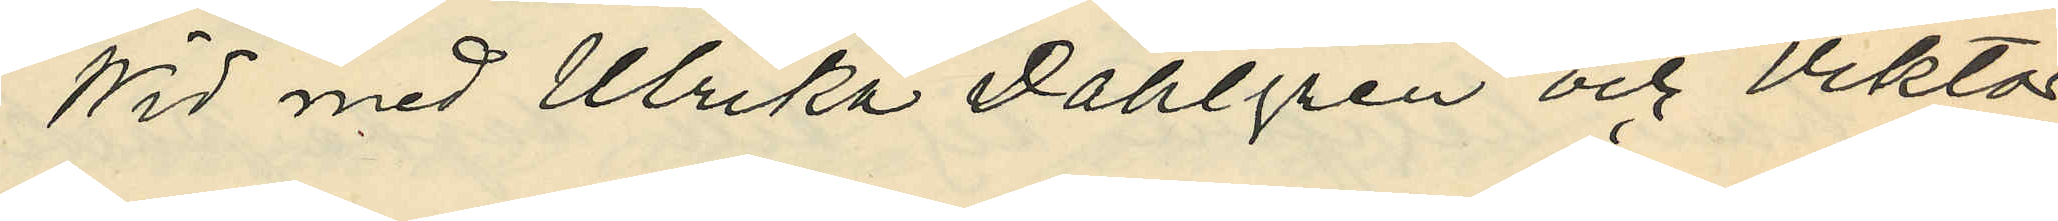Wid med Ulrika Dahlgren och Viktor
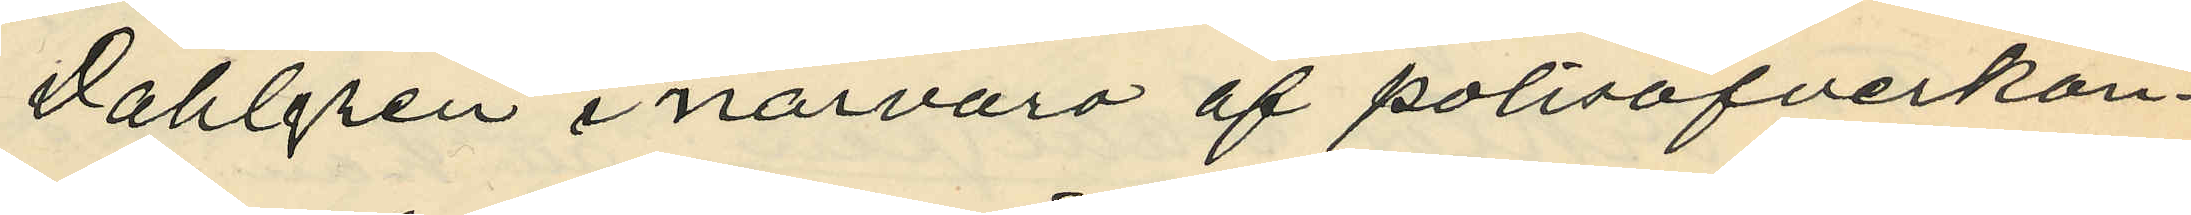Dahlgren i närvaro af polisöfverkon¬
